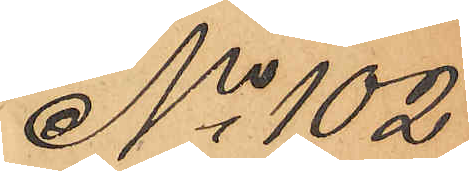No 102
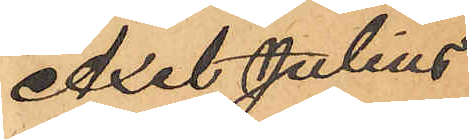Axel Julius
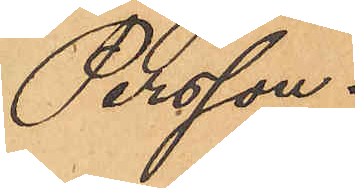Persson.
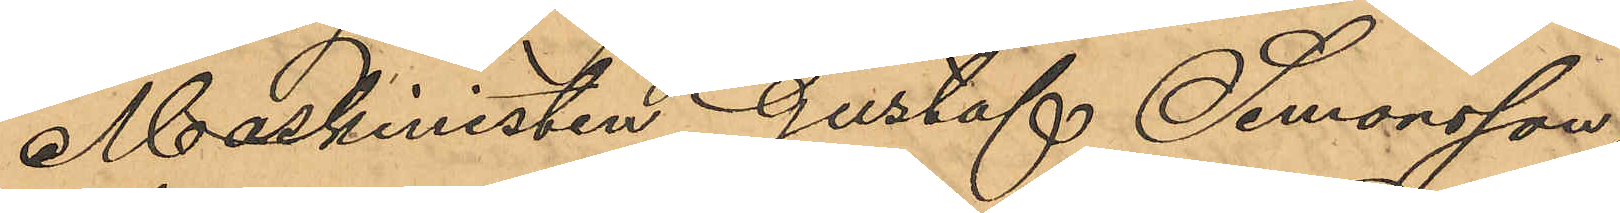Maskinisten Gustaf Simonsson,
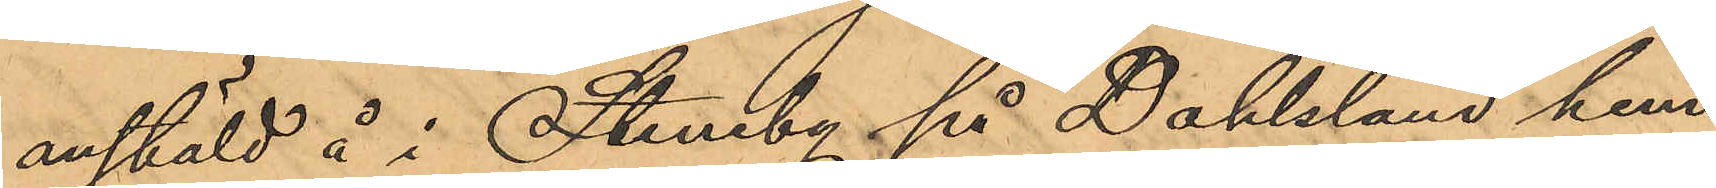anstäld å i Steneby på Dahlsland hem¬
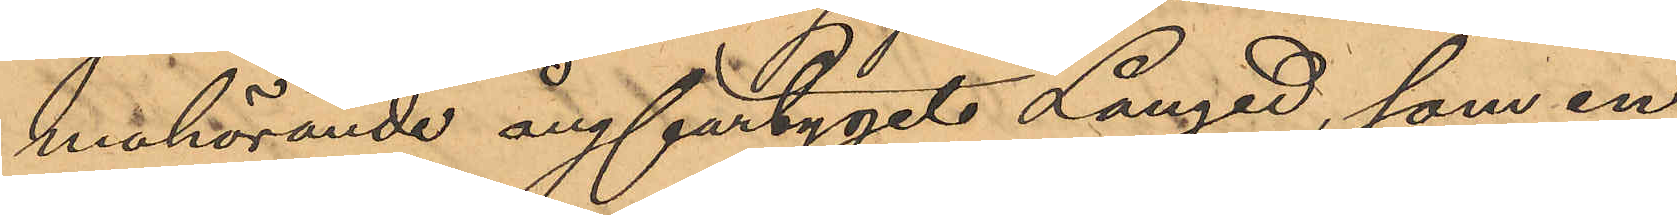mahörande ångfartyget Långed, som en
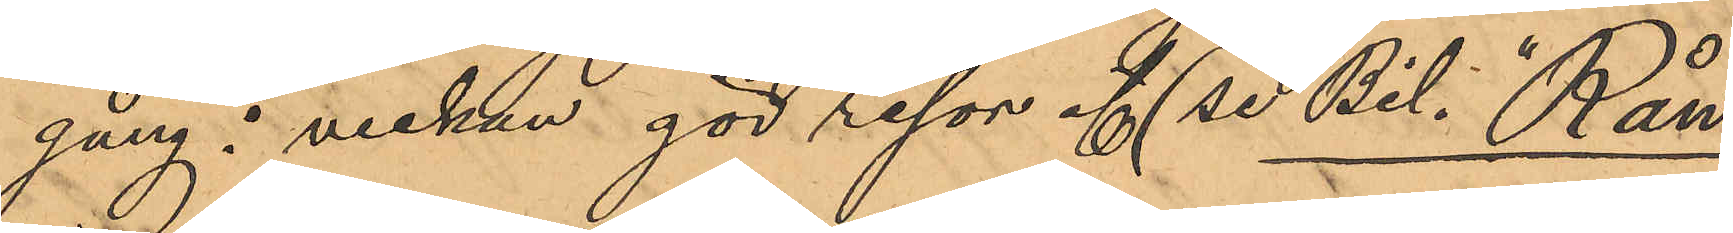gång i veckan gör resor af (se Bil. "Rån";
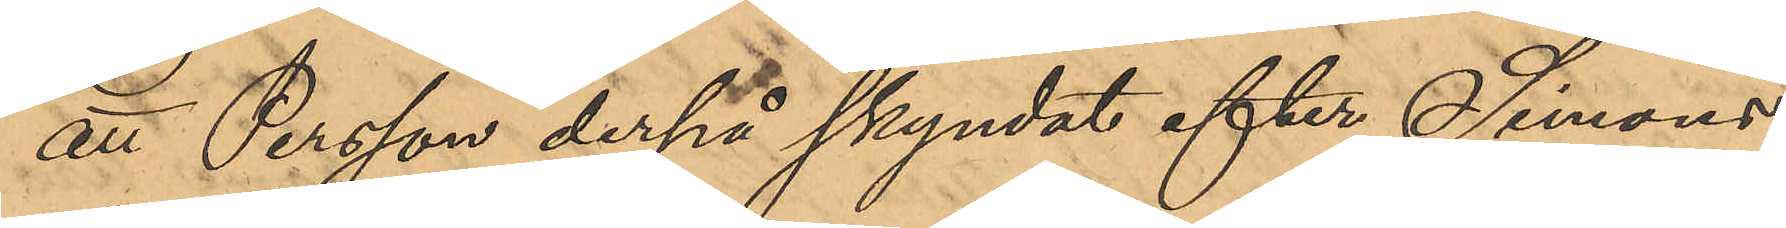att Persson derpå skyndat efter Simons¬
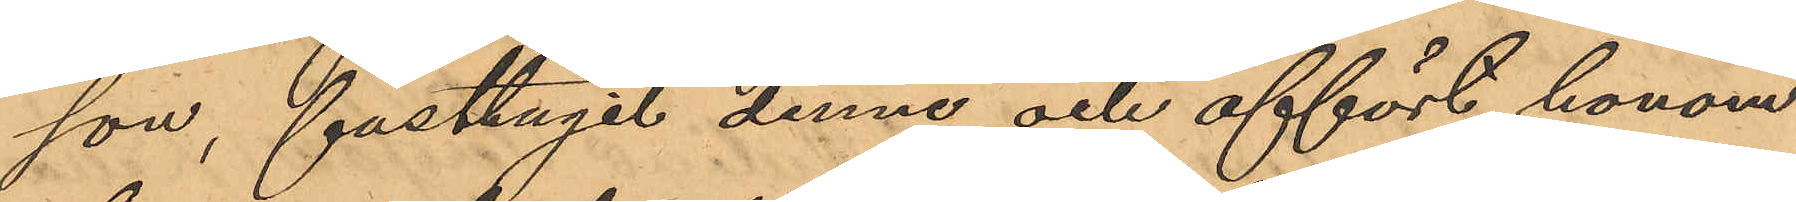son, fasttagit denne och affört honom
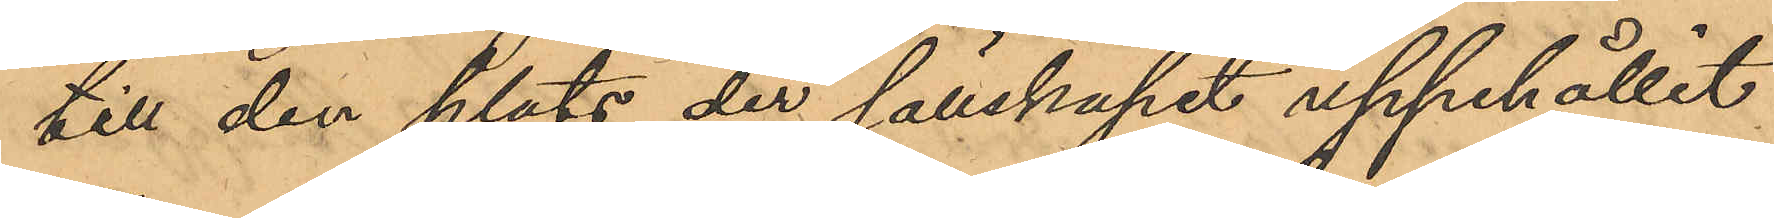till den plats der sällskapet uppehållit
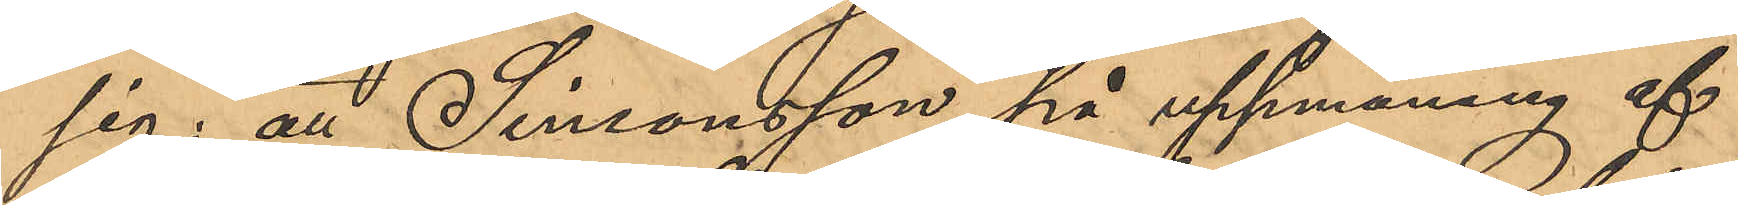sig; att Simonsson på uppmaning af
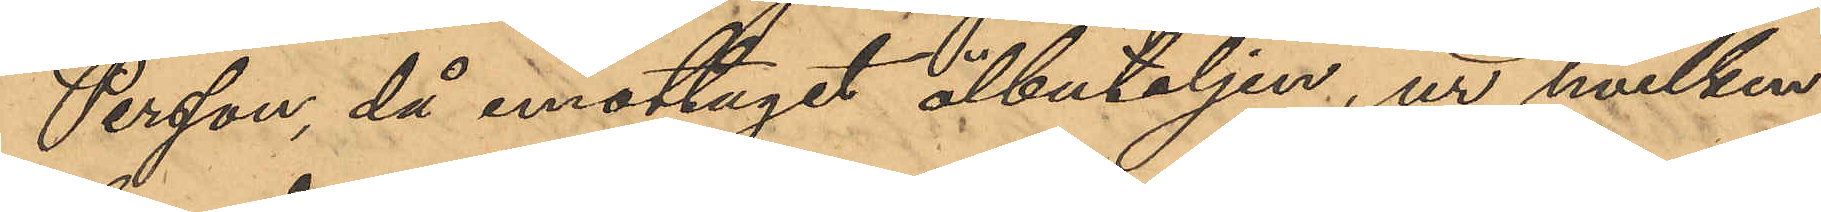Persson, då emottagit ölbuteljen, ur hvilken
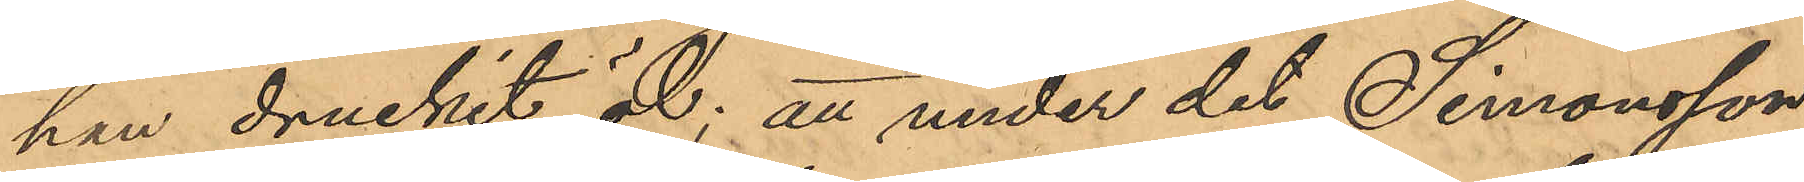han druckit öl; att under det Simonsson
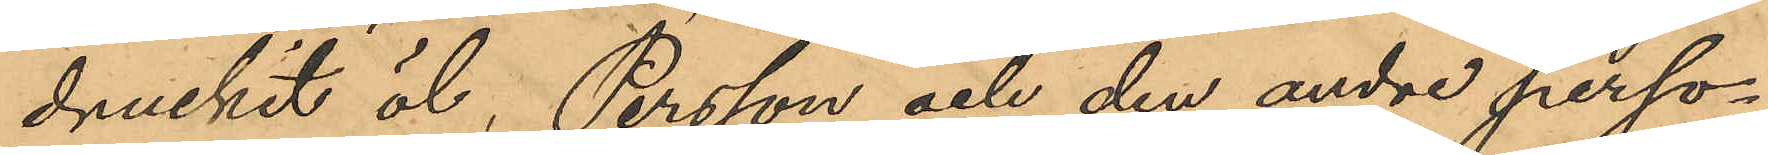druckit öl, Persson och den andre perso¬
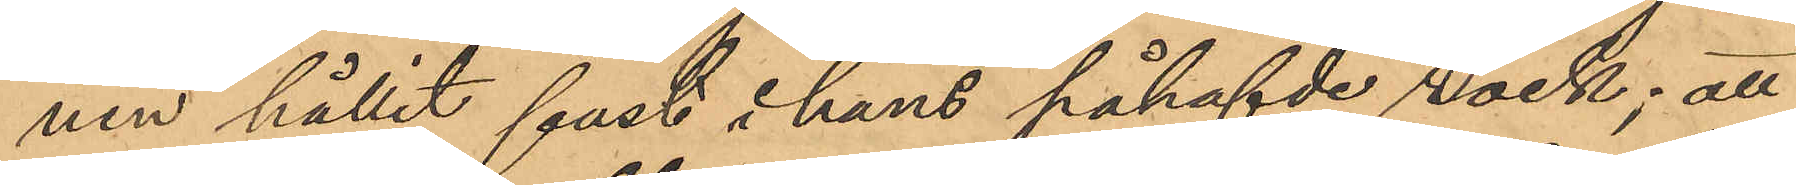nen hållit fast i hans påhafvde rock; att
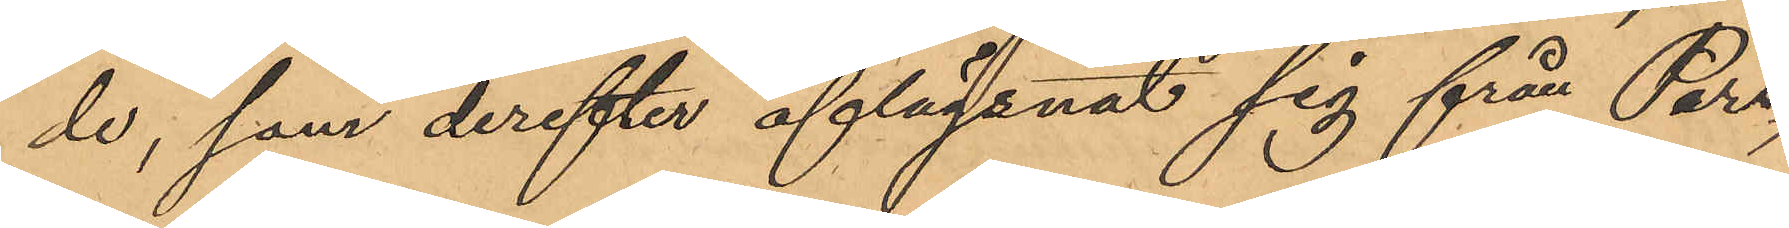de, som derefter aflägsnat sig från Pers¬
